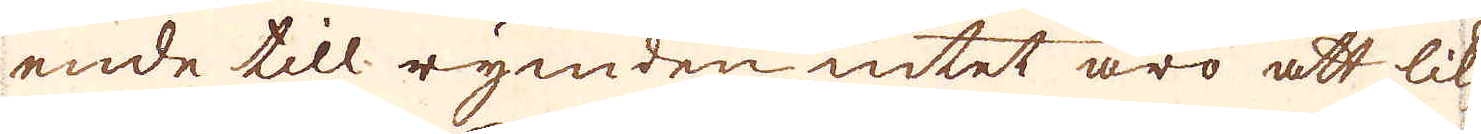ende till rymden intet äro att lik-
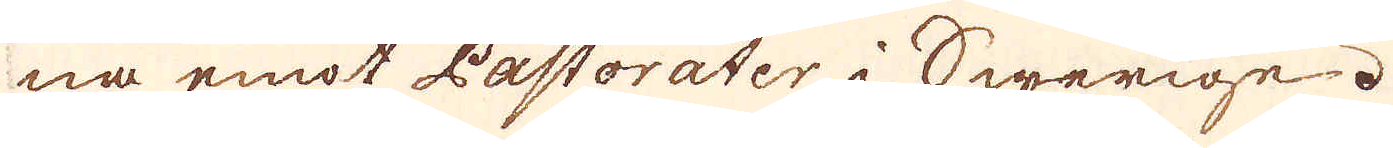na emot Pastorater i Swerige.
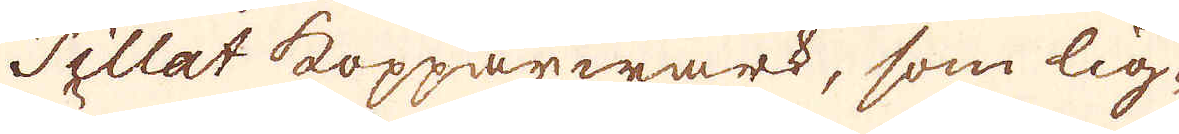Tillat kopparwärk, som lig-
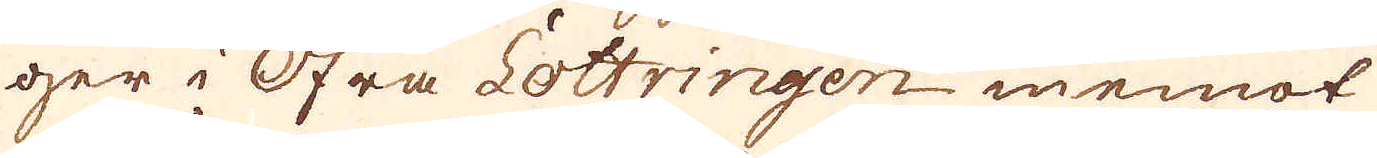ger i Öfra Lottringen inemot
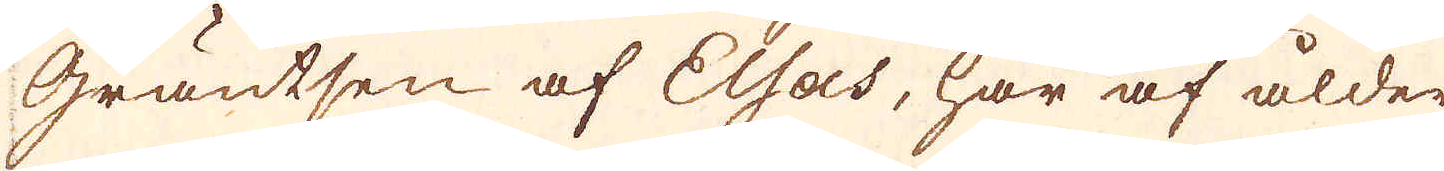gräntsen af Elsas, har af ålder
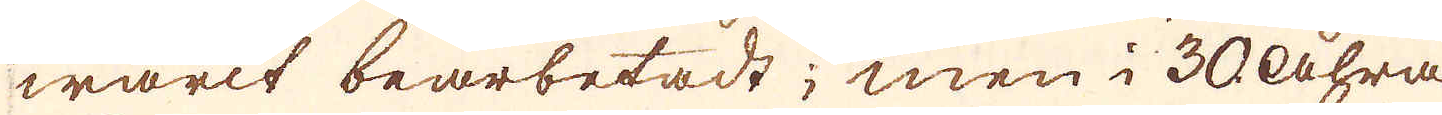warit bearbetadt; men i 30 åhra
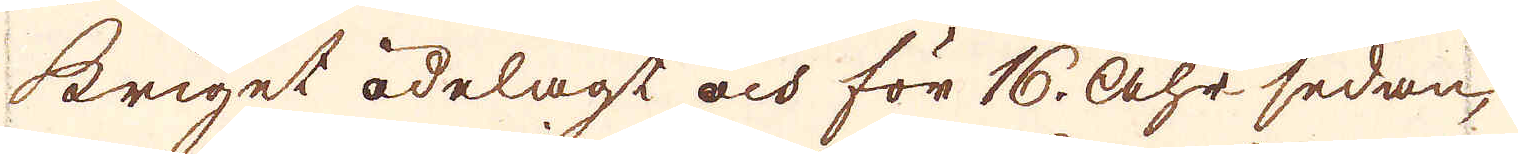kriget ödelagt och för 16. åhr sedan,
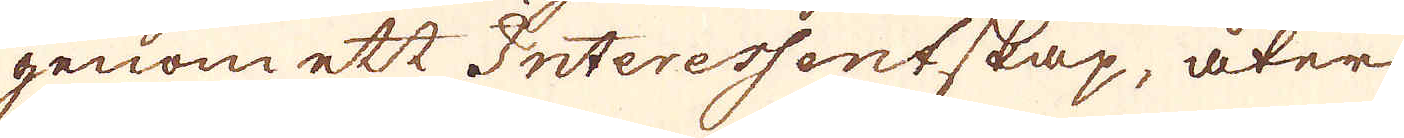genom ett Interessentskap, åter
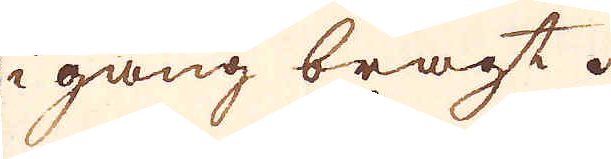i gång bragt.
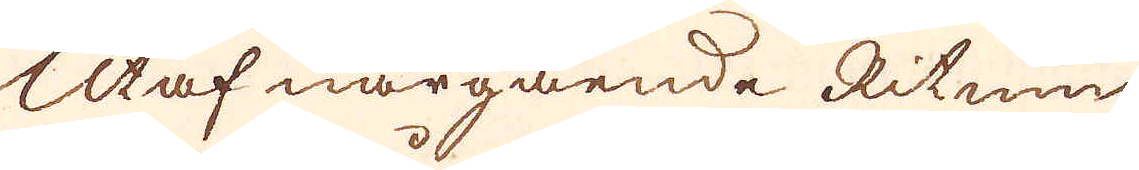Utaf närgående Ritning
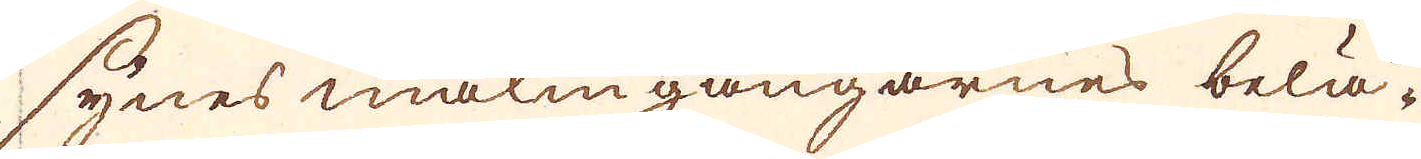synes malmgångarnes belä-
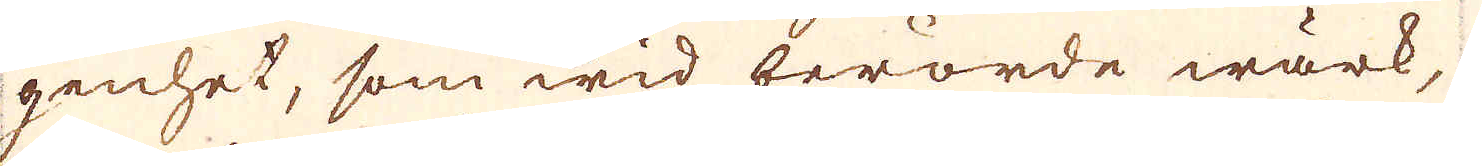genhet, som wid berörde wärk,
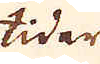tider
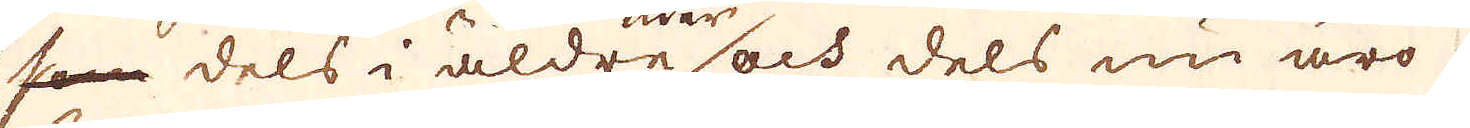som dels i äldre och dels nu äro
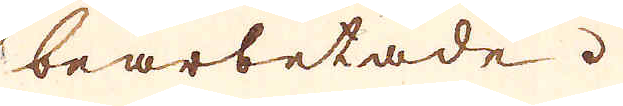bearbetade.
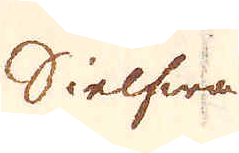Sielfwa
